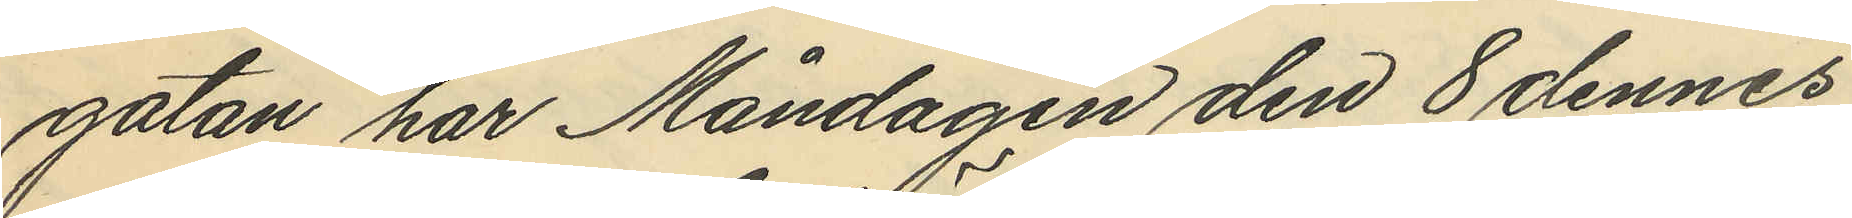gatan har Måndagen den 8 dennes
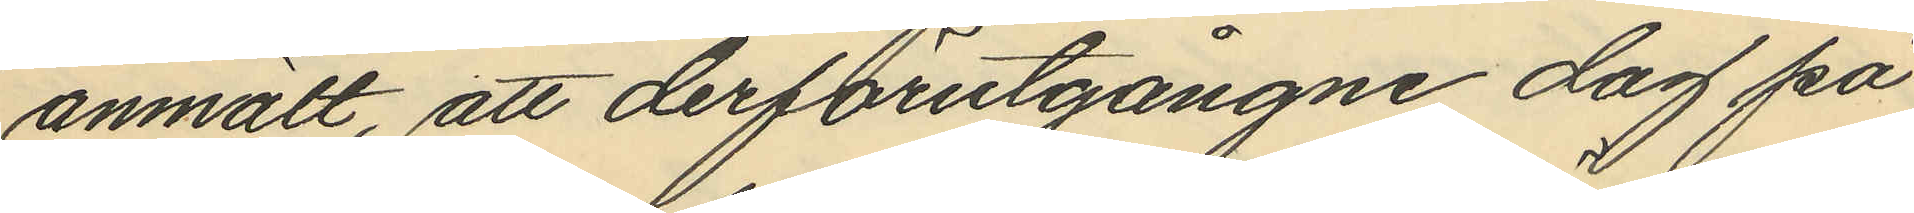anmält, att derförutgångne dag på
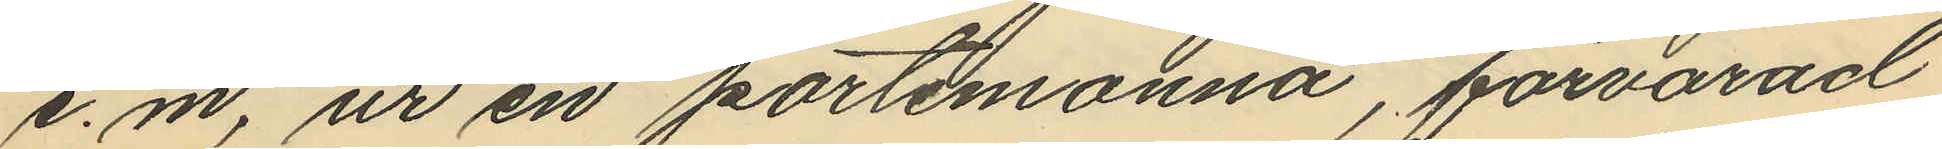e.m. ur en portemonnä, förvarad
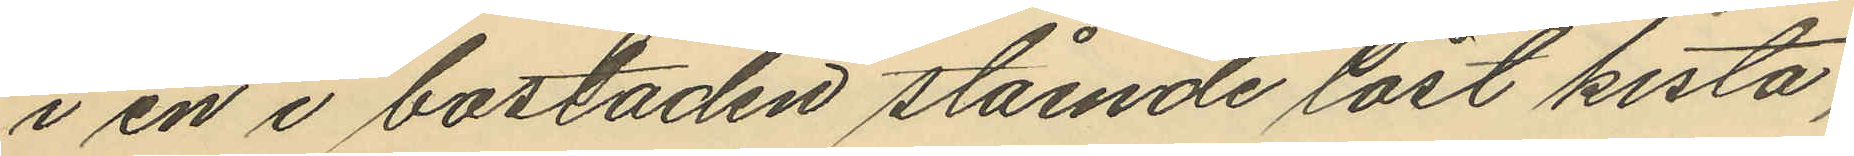i en i bostaden stående låst kista,
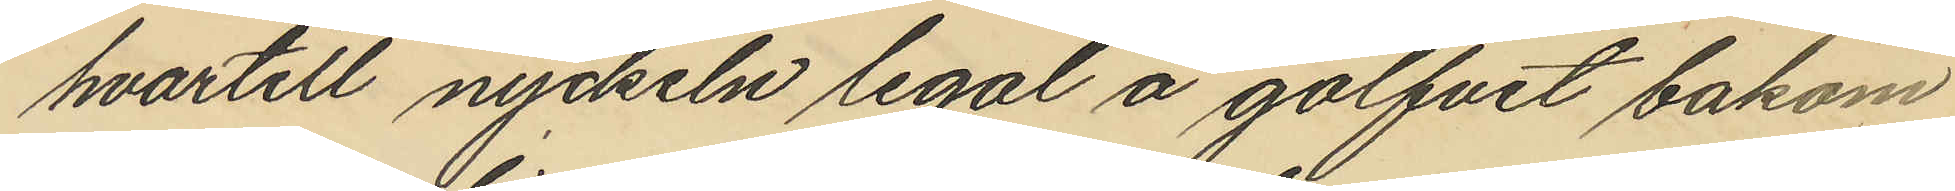hvartill nyckeln legal å golfvet bakom
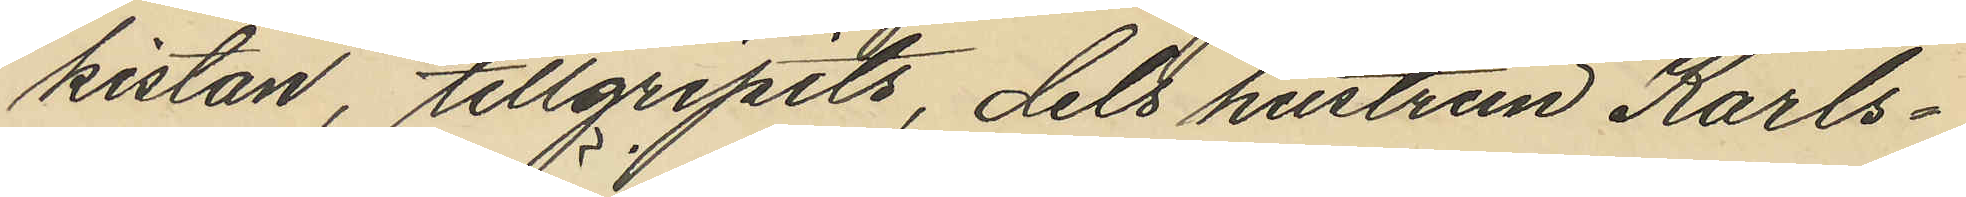kistan, tillgripits, dels hustrun Karls¬
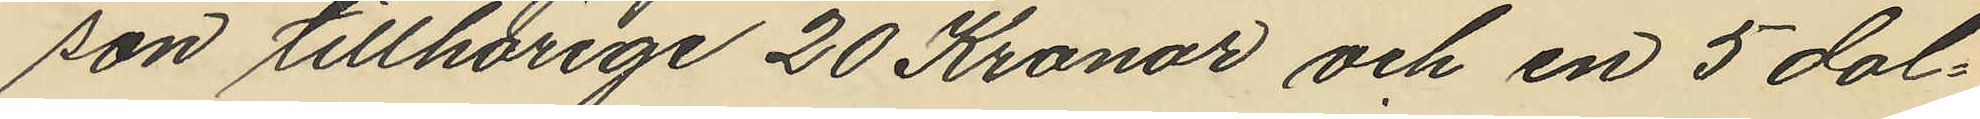son tillhörige 20 Kronor och en 5 dol¬
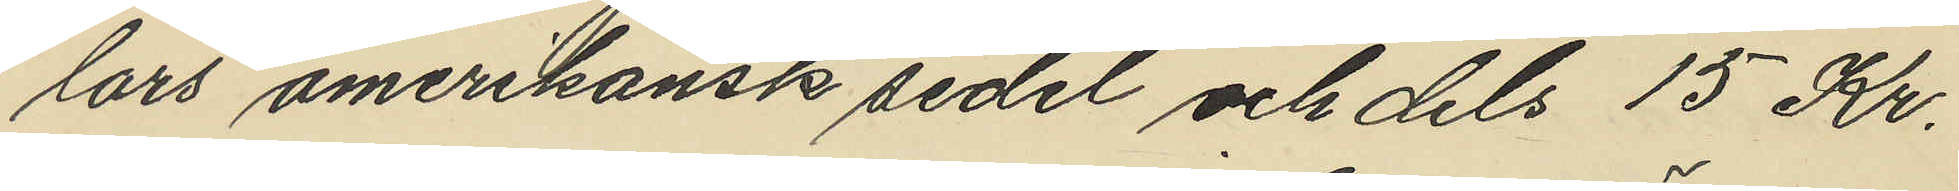lars amerikansk sedel och dels 15 Kr.
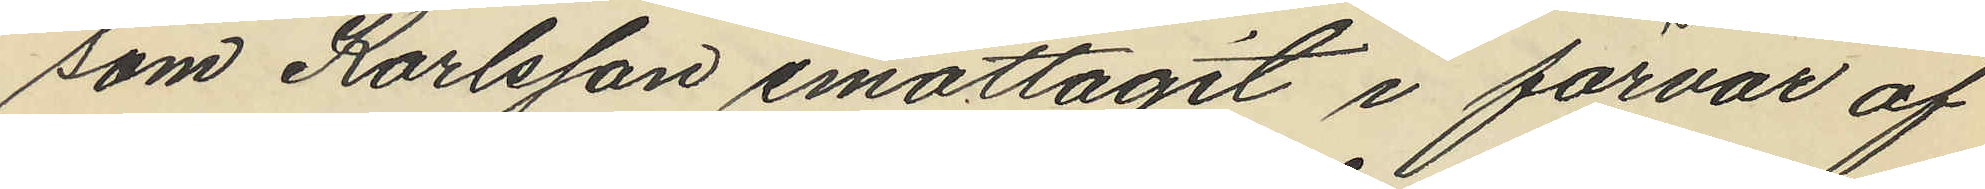som Karlsson emottagit i förvar af
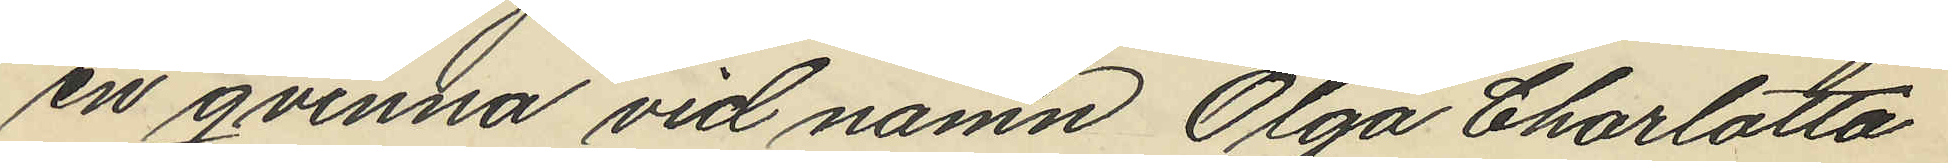en qvinna vid namn Olga Charlotta
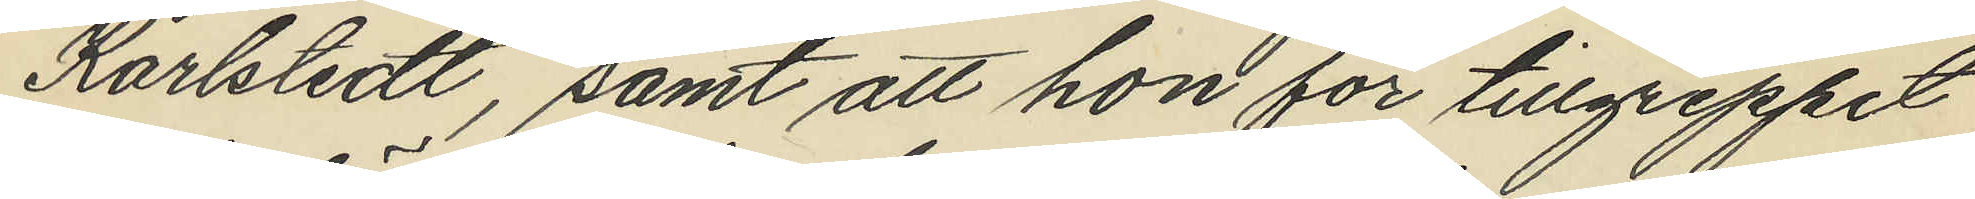Karlstedt, samt att hon för tillgreppet
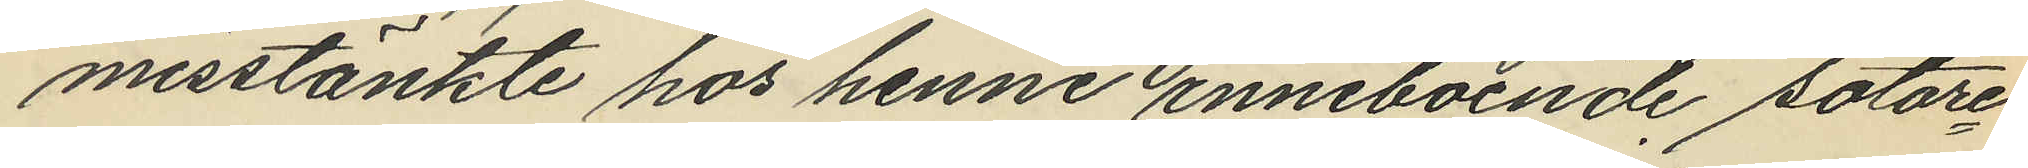misstänkte hos henne inneboende sotare¬
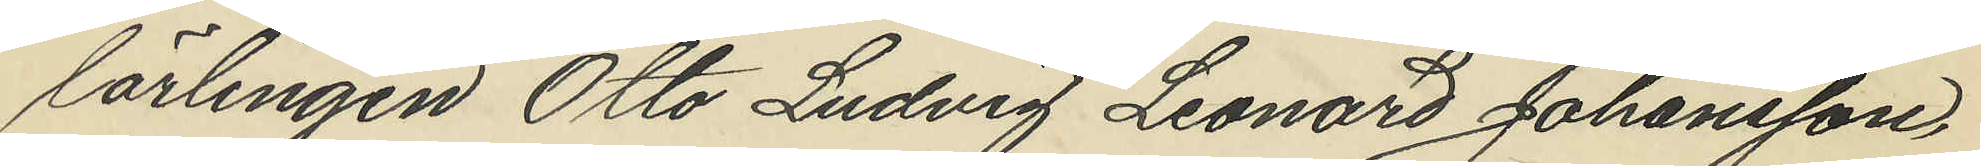lärlingen Otto Ludvig Leonard Johansson,
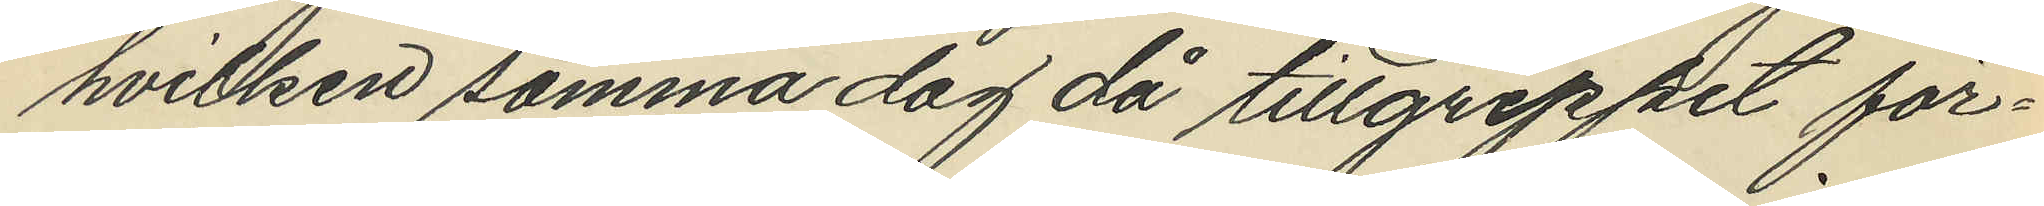hvilken samma dag då tillgreppet för¬
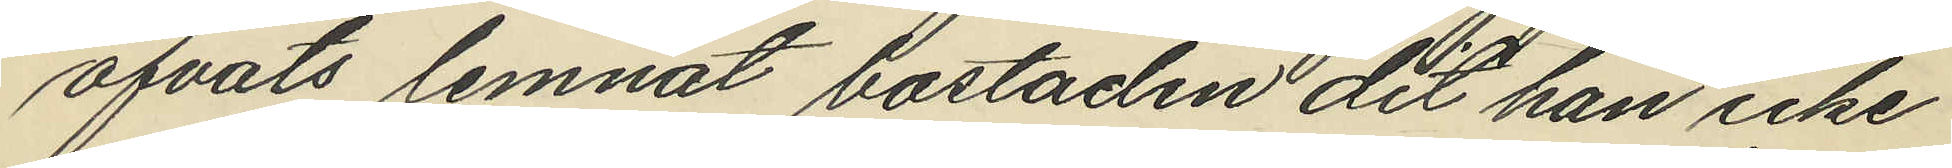öfvats lemnat bostaden dit han icke
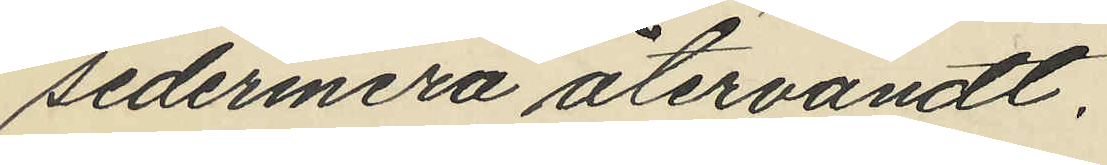sedermera återvändt.
